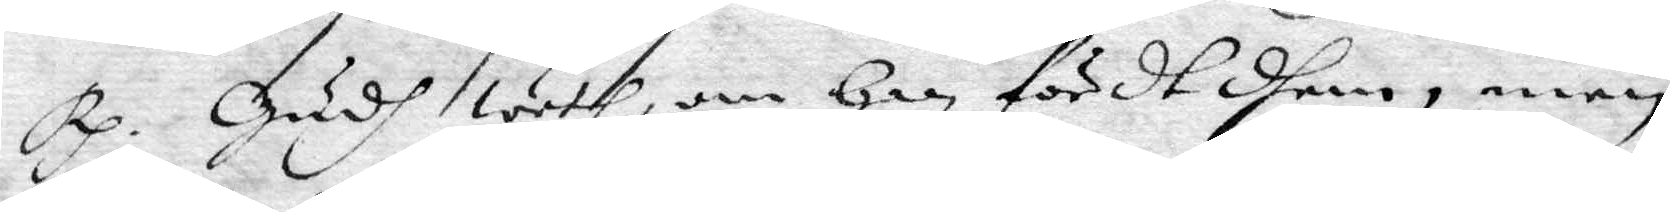Rp. Gudh weth, om han fördt dhem, men
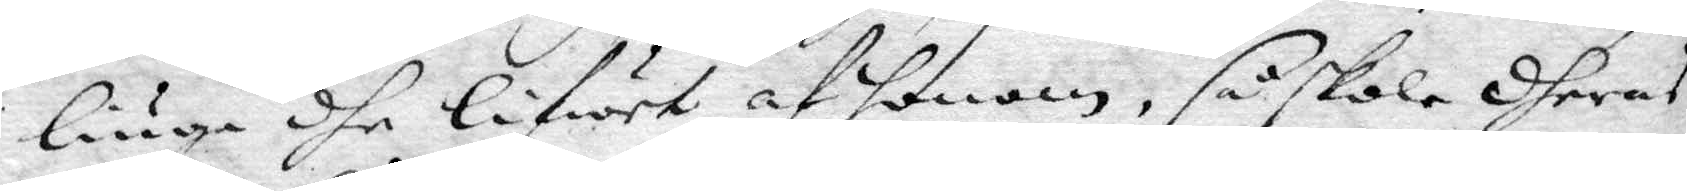liuga dhe lifwet af honom, så skola dheras
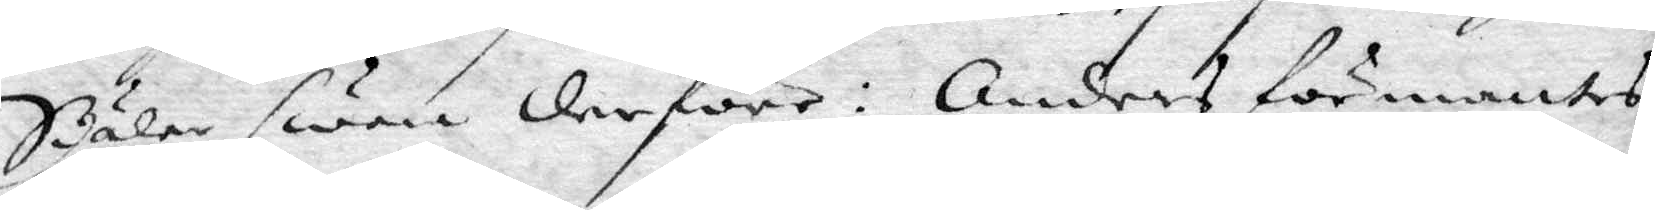Siälar swara derföre: Anders förmantes
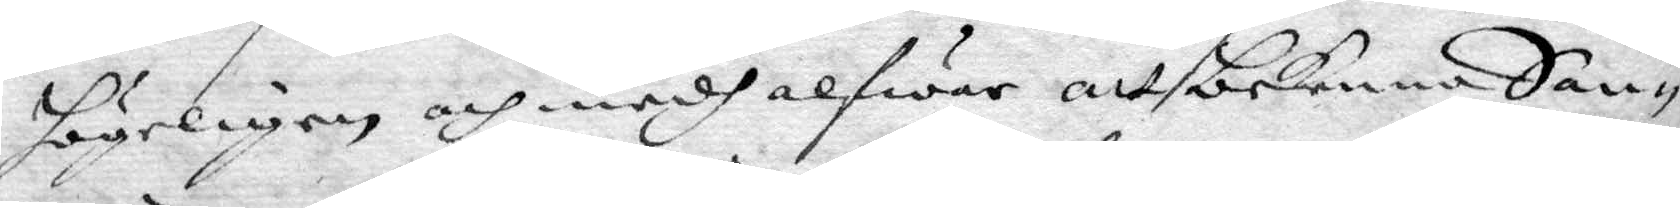högeligen och medh alfwar att bekenna San¬
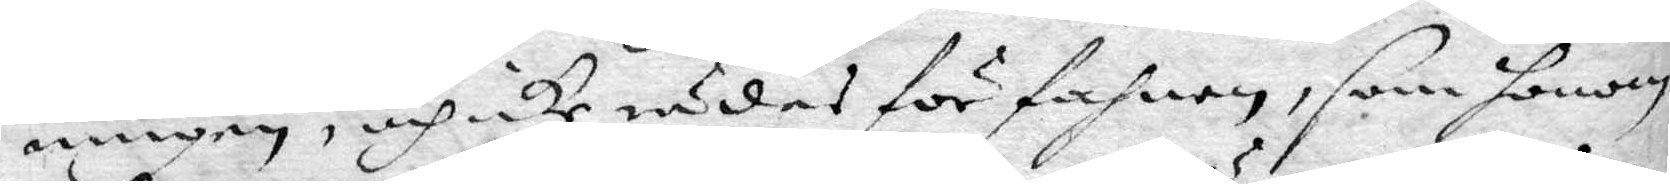ningen, och icke rädes för fahnen, som honom
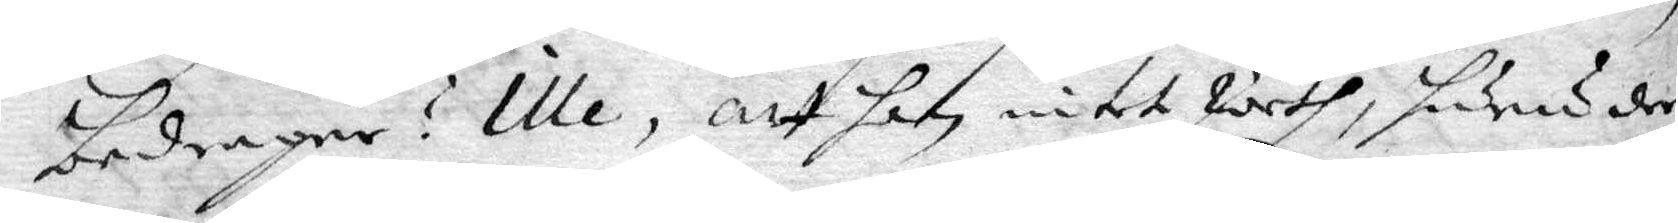bedrager? Ille, att han intet weth, huru der
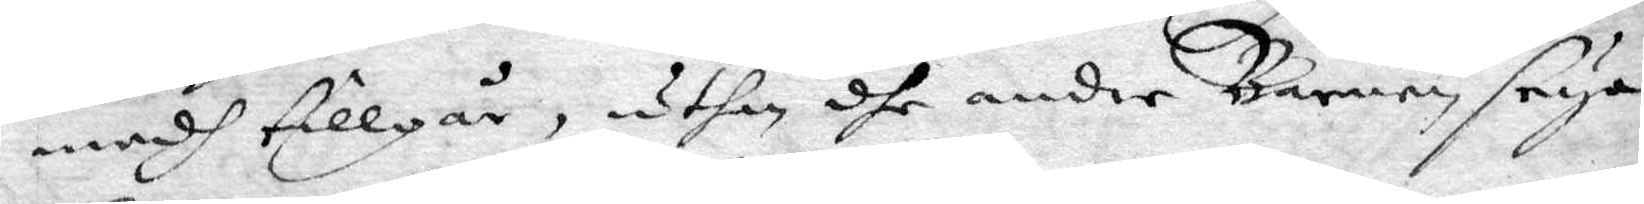medg tillgår, uthan dhe andre Barnen seya
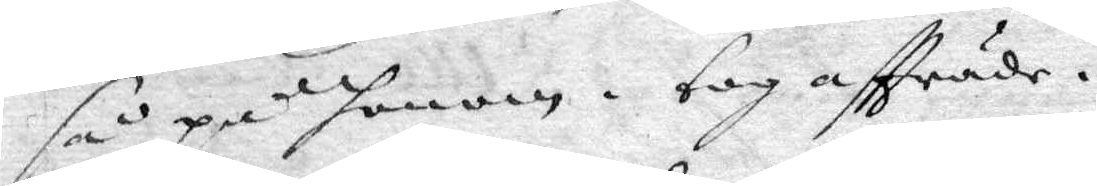så på honom. tog aftträde.
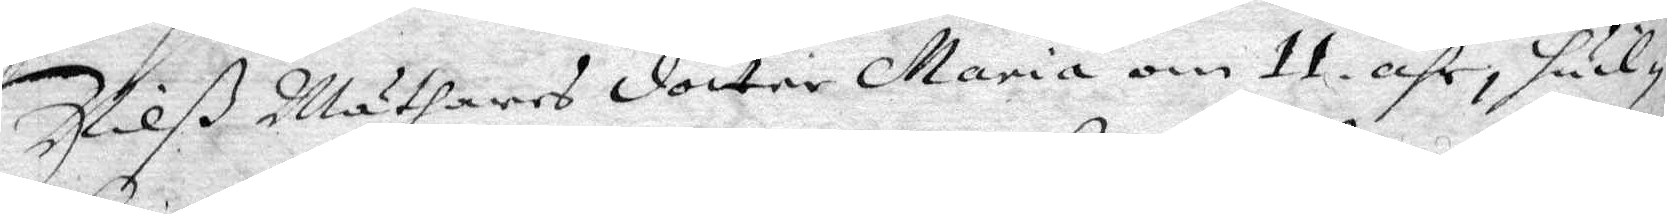Nilß Mäthares dotter Maria om 11 åhr, hwil¬
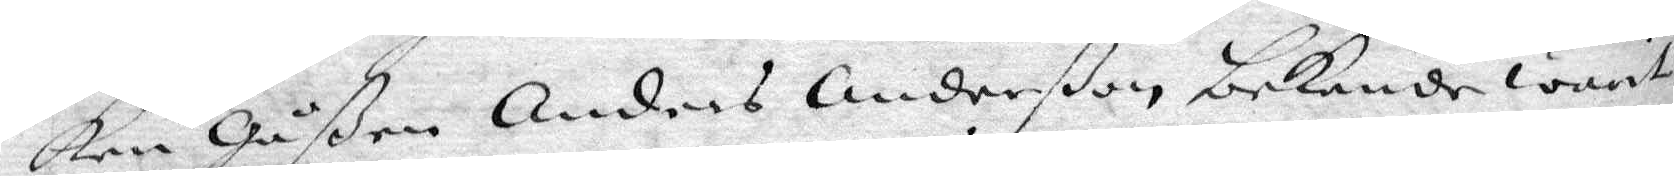ken Gåßen Anders Anderßon bekende warit
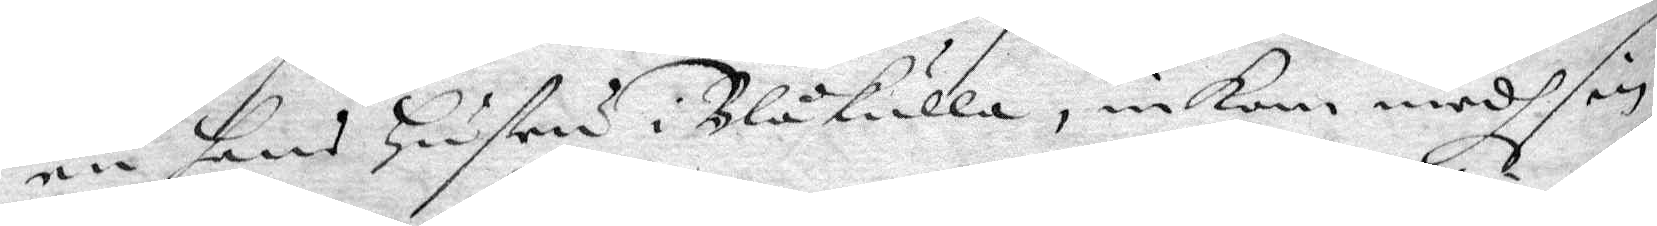en hans Hustru i Blåkulla, inkom medh sin
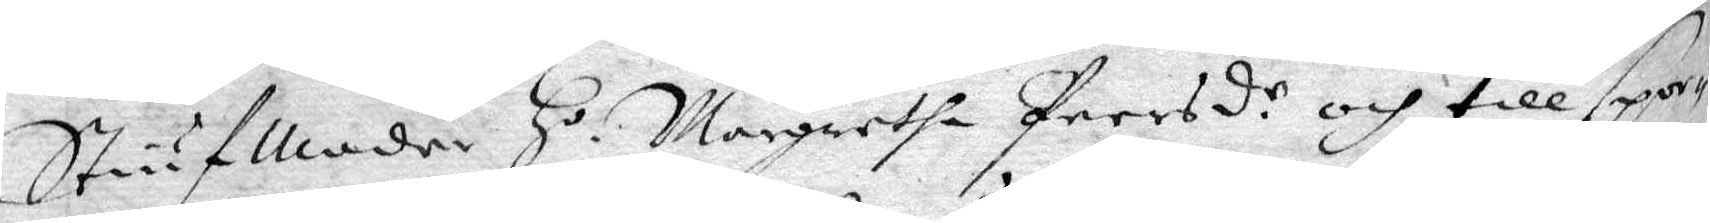StiufModer H.o Margreta Persd.r och till spor¬
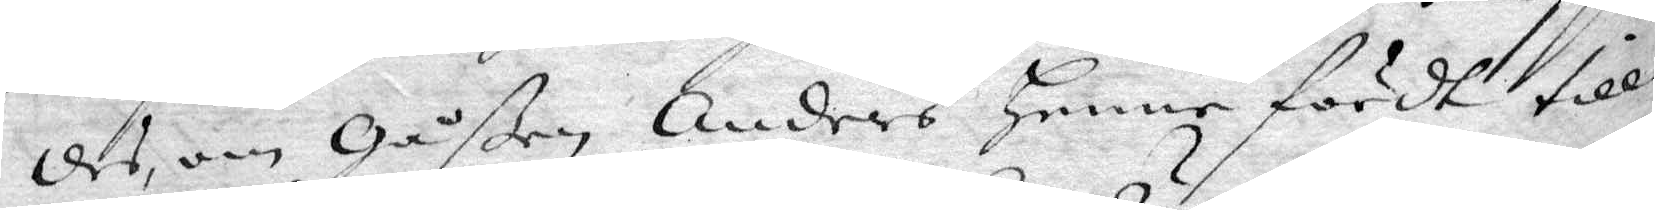des om Gåßen Anders henne fördt till
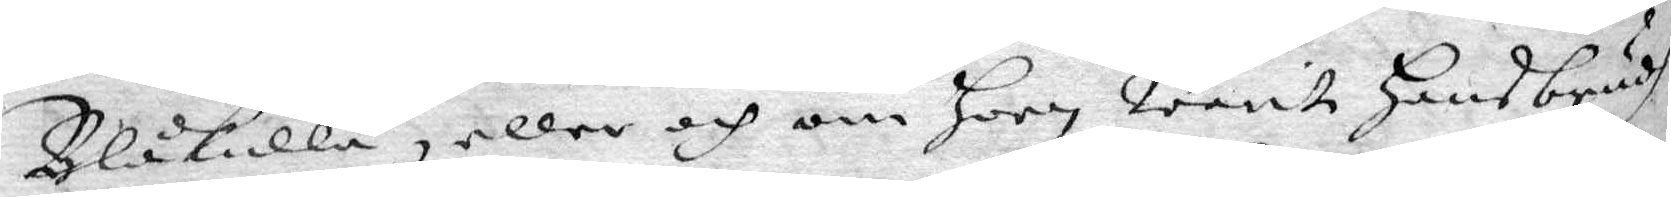Blåkulla, eller och om Hon warit hans brudh?
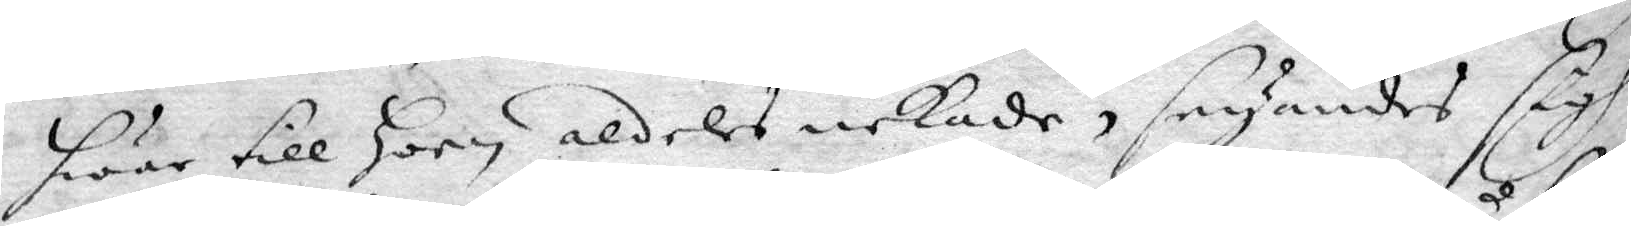hwar till Hon aldeles nekade, seyandes sigh
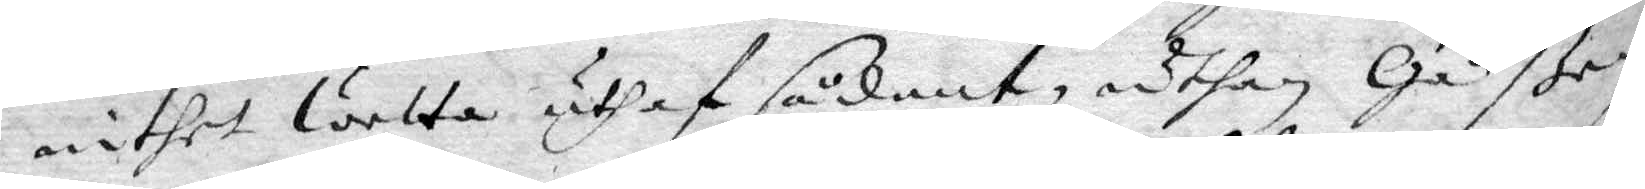inthet wetta uthaf sådant, uthan Gåßen
